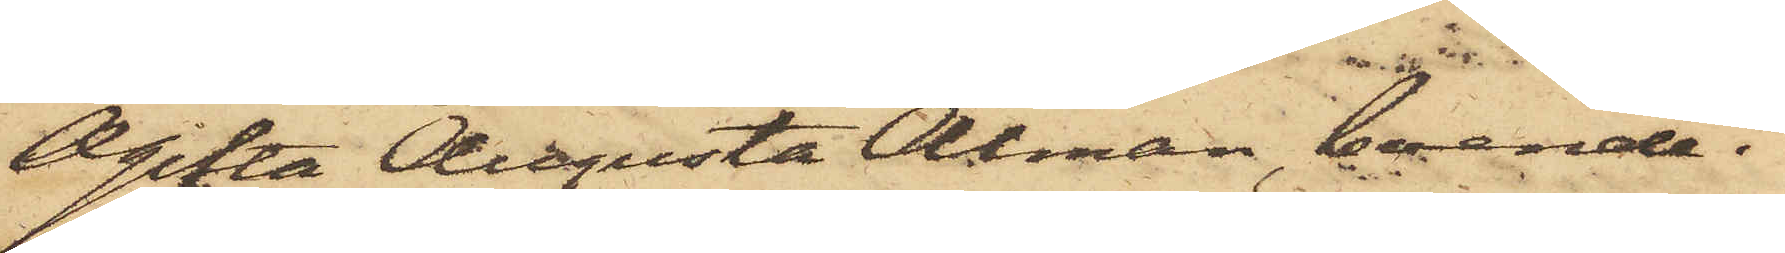Ogifta Augusta Alman, boende i
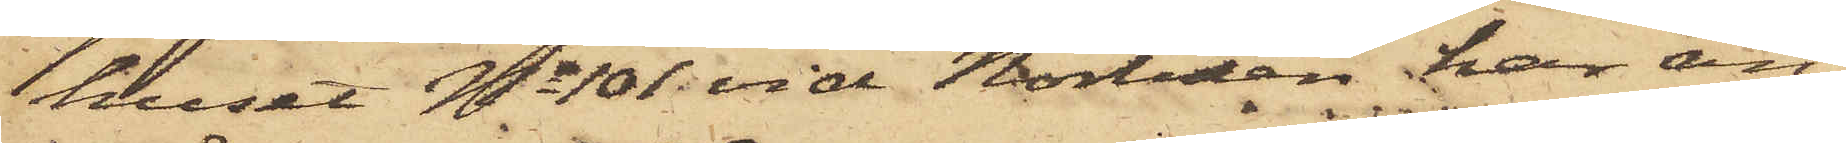huset No 101 vid Norliden har an¬
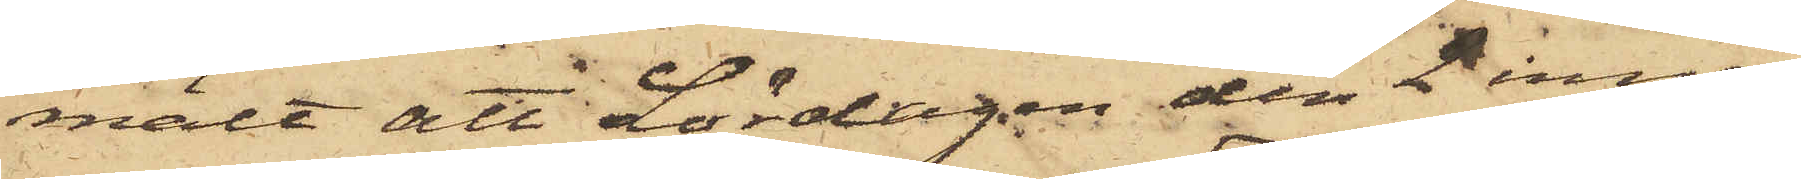mält att Lördagen den 2 inne¬
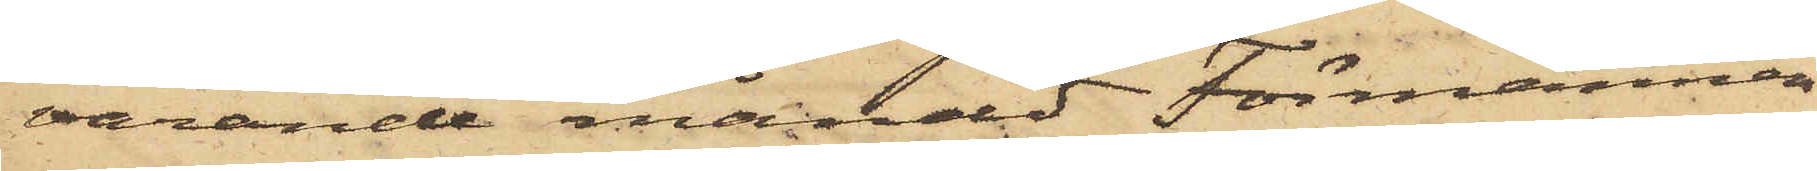varande månad Förmannen
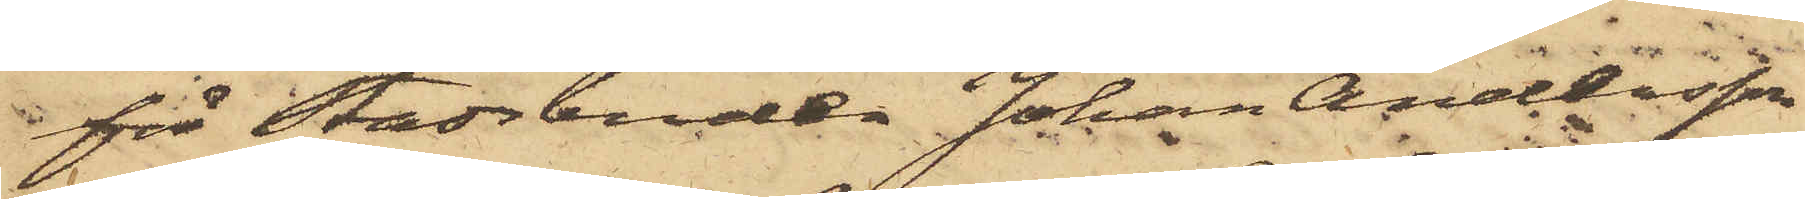för Stadsbuden Johan Andersson
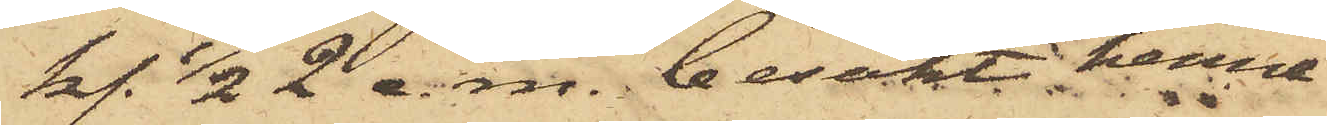kl. 1/2 2 e.m. besökt henne
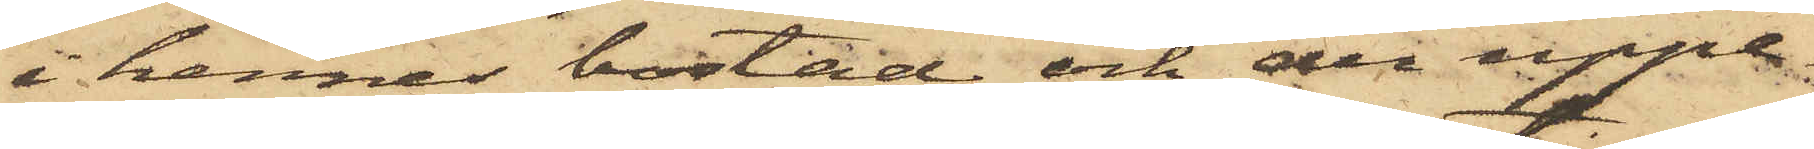i hennes bostad och der uppe¬
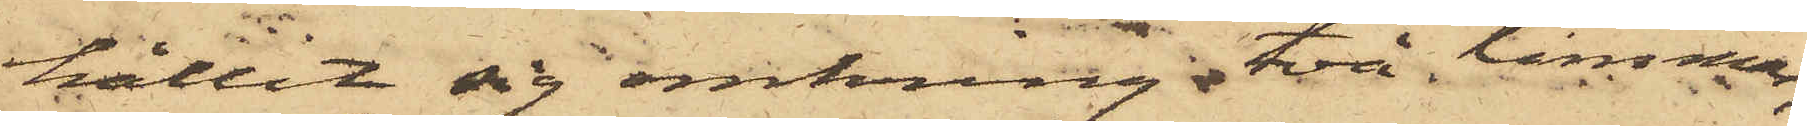hållit sig omkring två timmar;
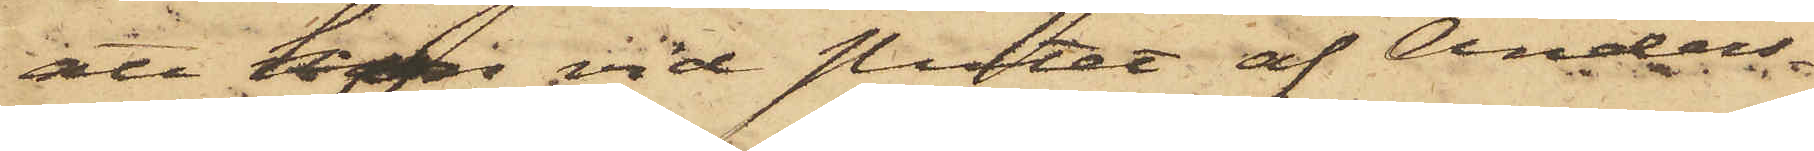att hon vid slutet af Anders¬
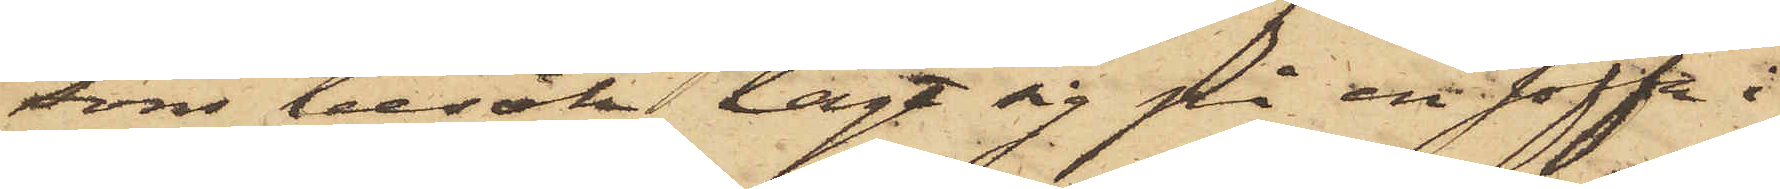sons besök lagt sig på en soffa i
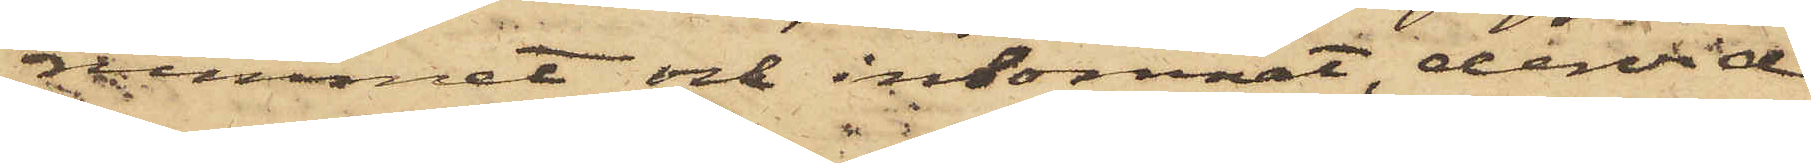rummet och insomnat, dervid
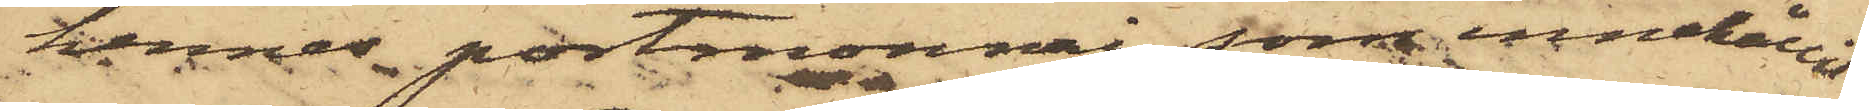hennes portmonnai som innehållit
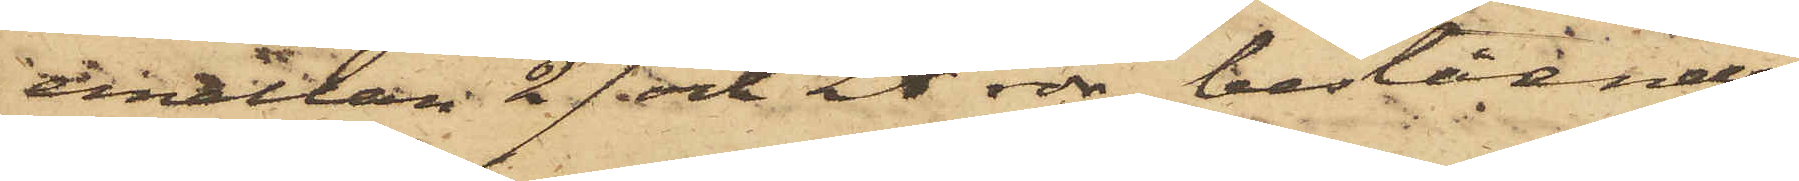emellan 27 och 28 rdr, bestående
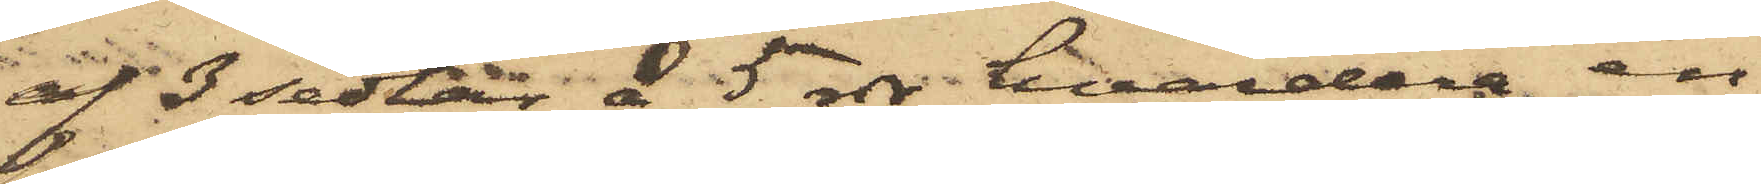af 3 sedlar å 5 rdr hvardera, en
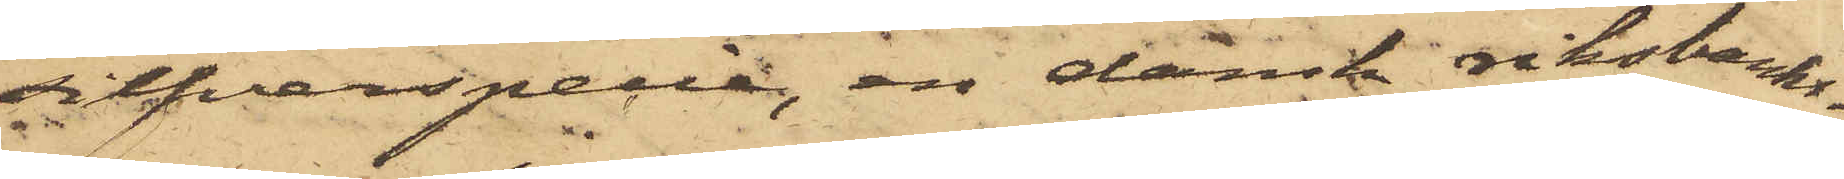silfverspecie, en dansk riksbanks¬
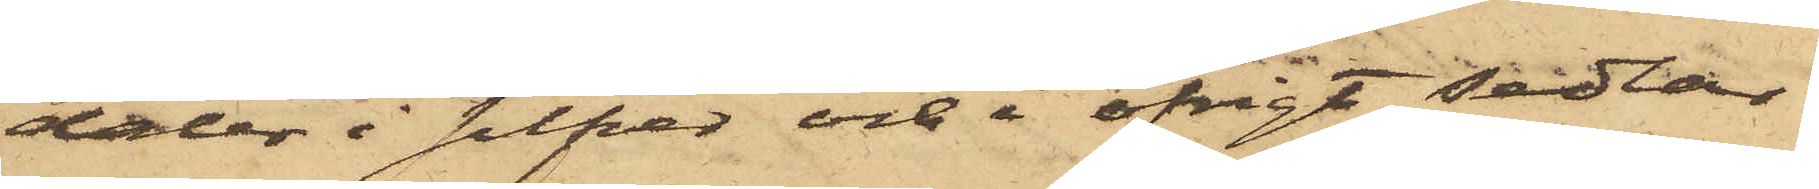daler i silfver och i öfrigt sedlar
